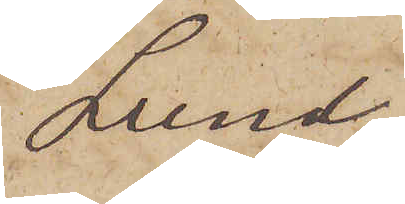Lund
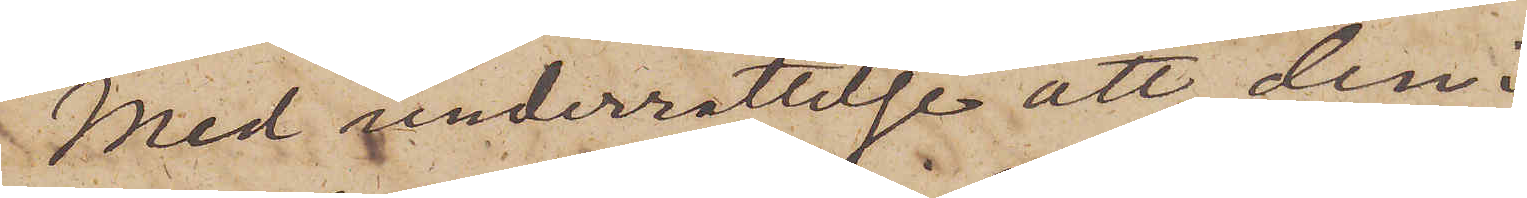Med underrättelse att den i
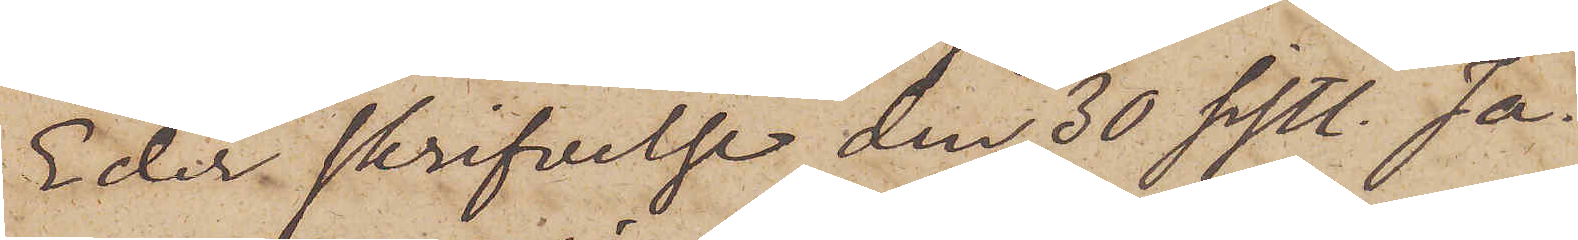Eder skrifvelse den 30 sistl. Ja¬
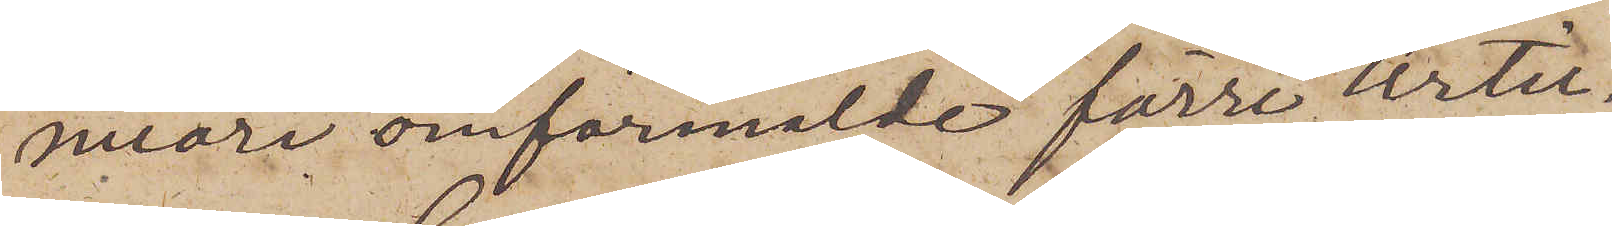nuari omförmälde förre Artil¬
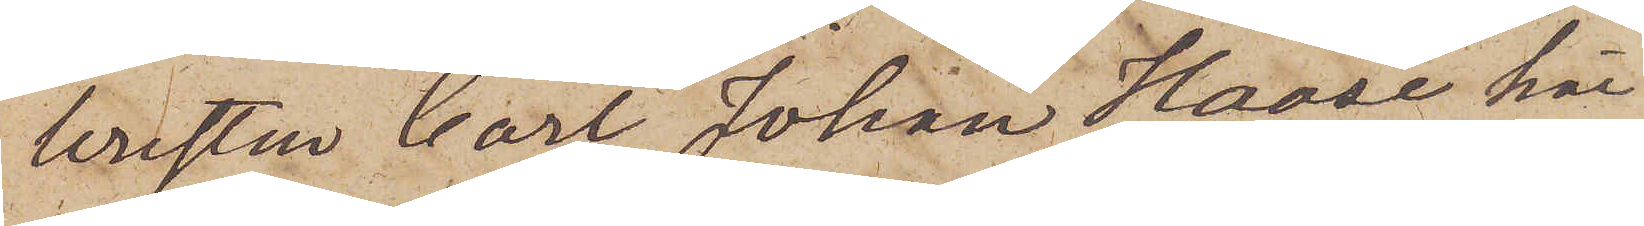leristen Carl Johan Haase här
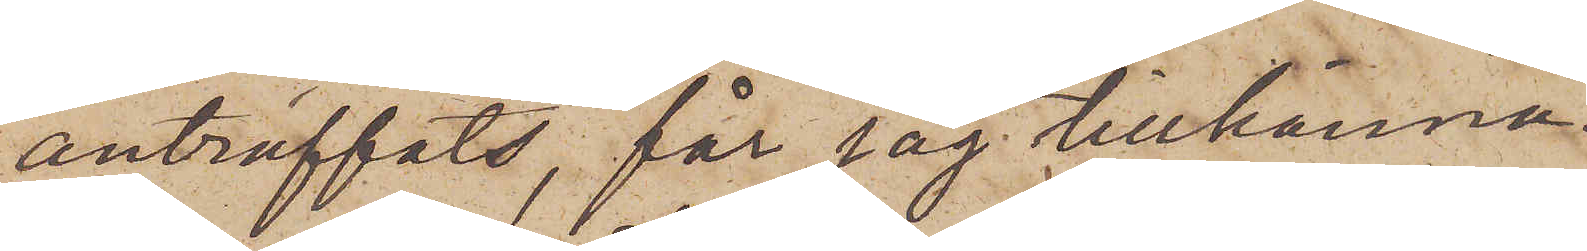anträffats, får jag tillkänna¬
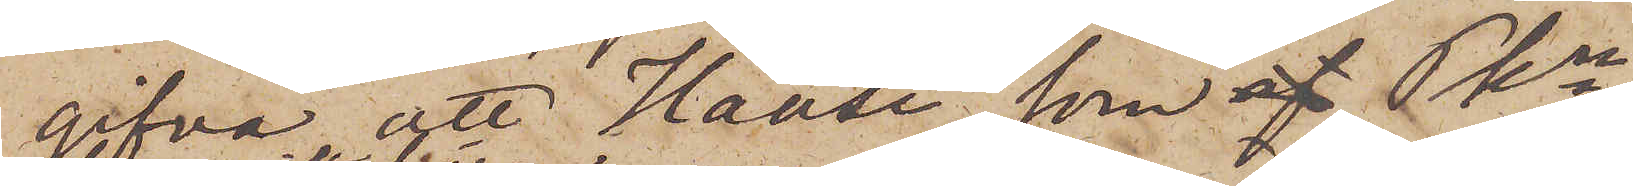gifva att Haase, som af Pkn
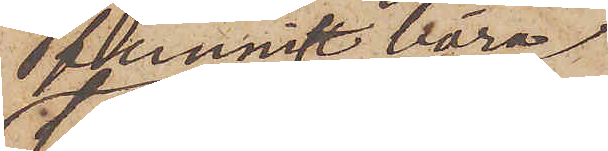funnits böra
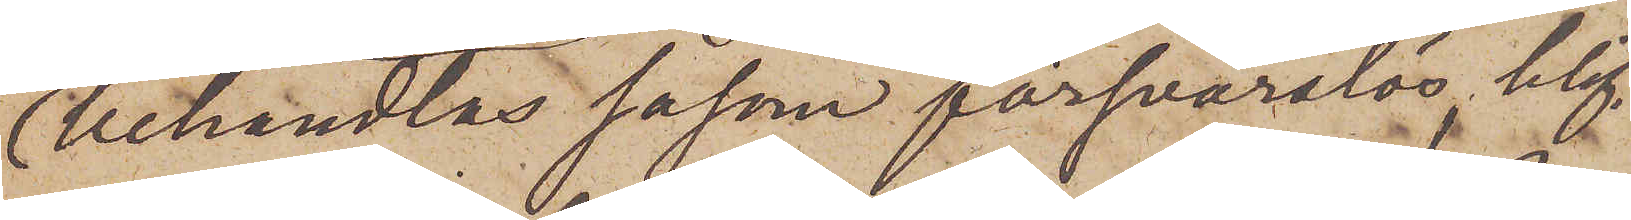behandlas såsom försvarslös, blif¬
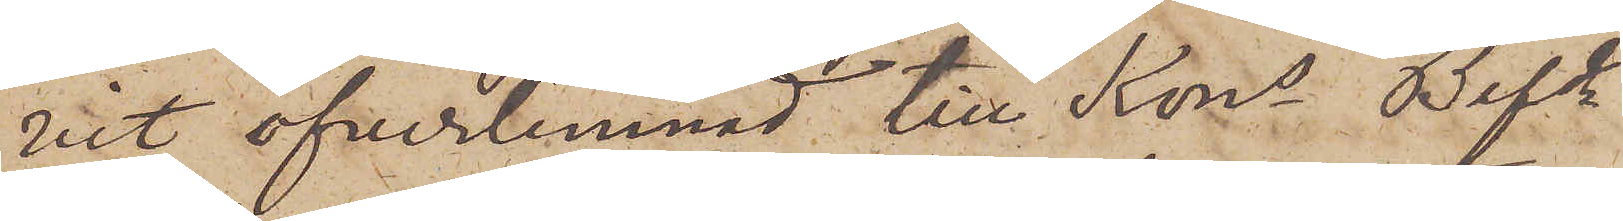vit öfverlemnad till Kons Befd
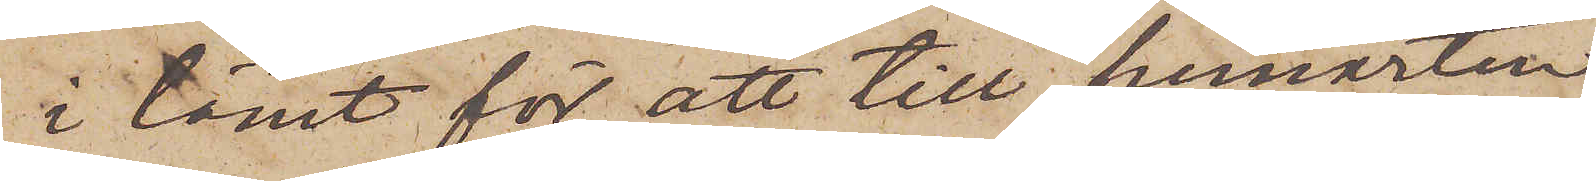i länet för att till hemorten
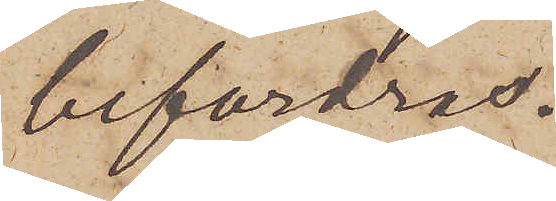befordras.
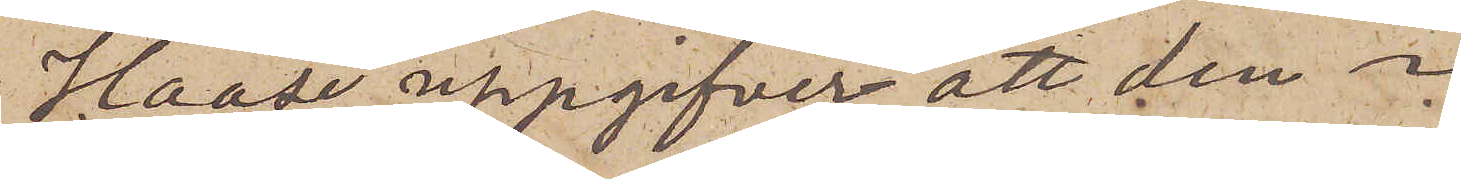Haase uppgifver att den i
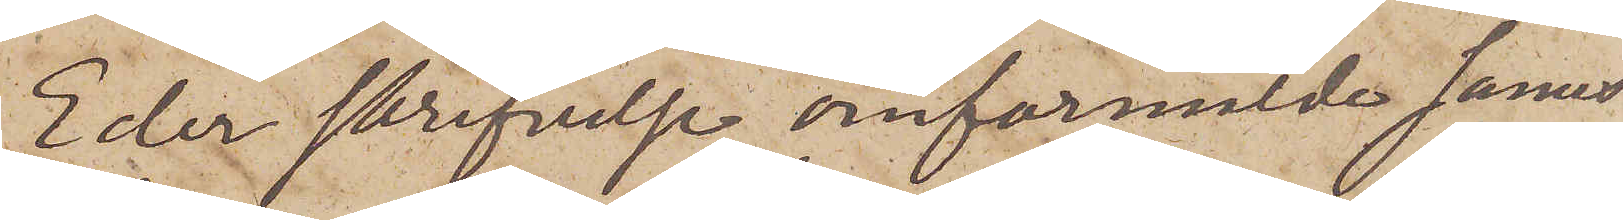Eder skrifvelse omförmälde James
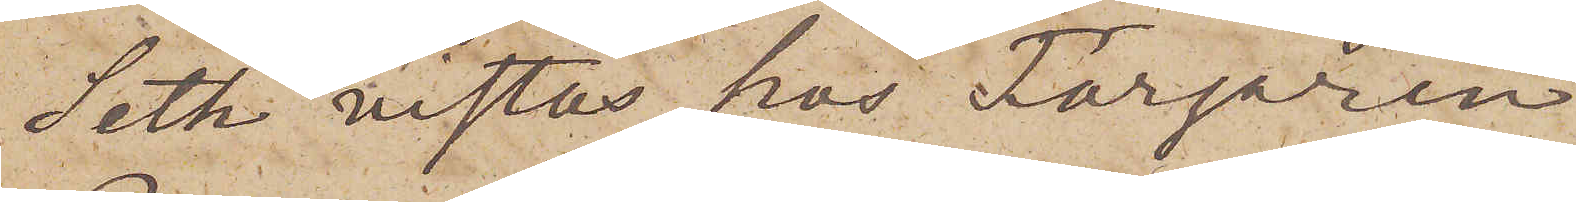Seth vistas hos Färgaren
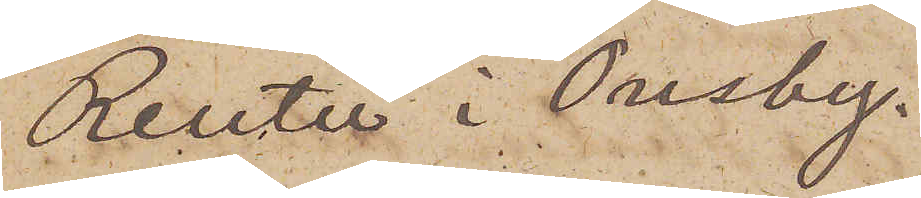Reuter i Ousby.
